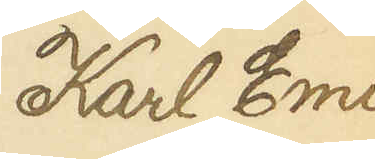Karl Emil
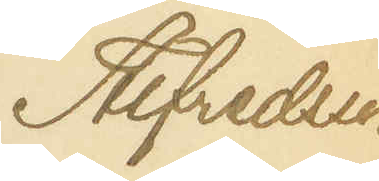Alfredsson
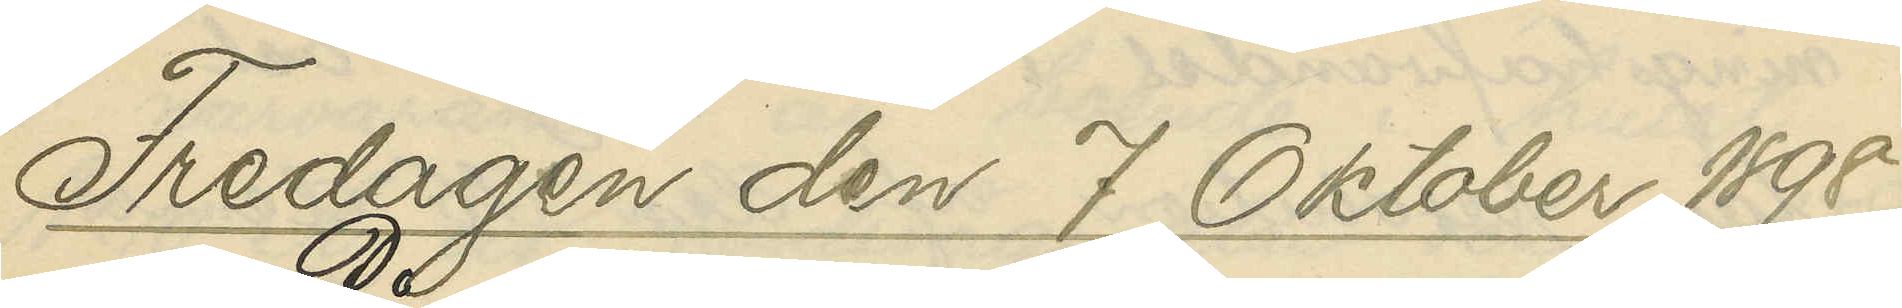Fredagen den 7 Oktober 1898
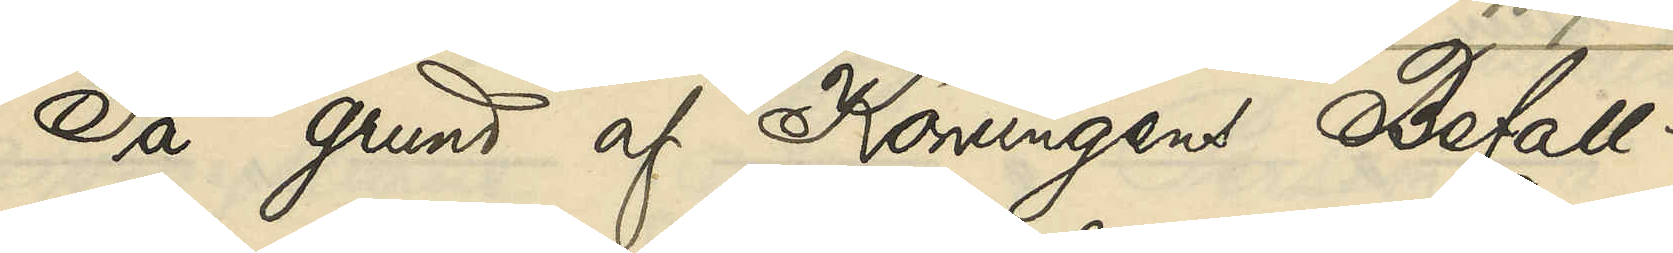På grund af Konungens Befall¬
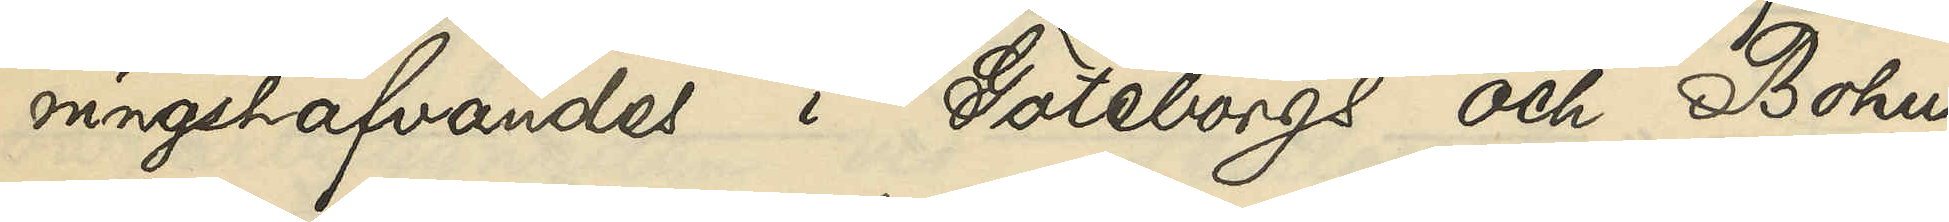ningshafvandes i Göteborgs och Bohus
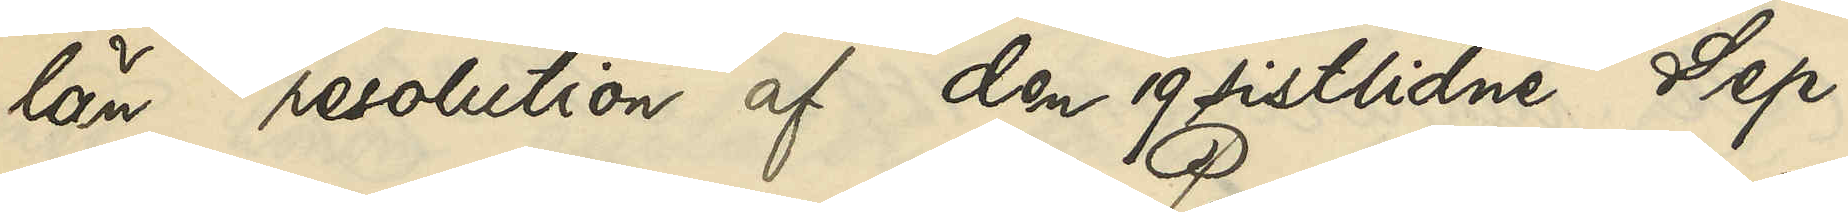län resolution af den 19 sistlidne Sep¬
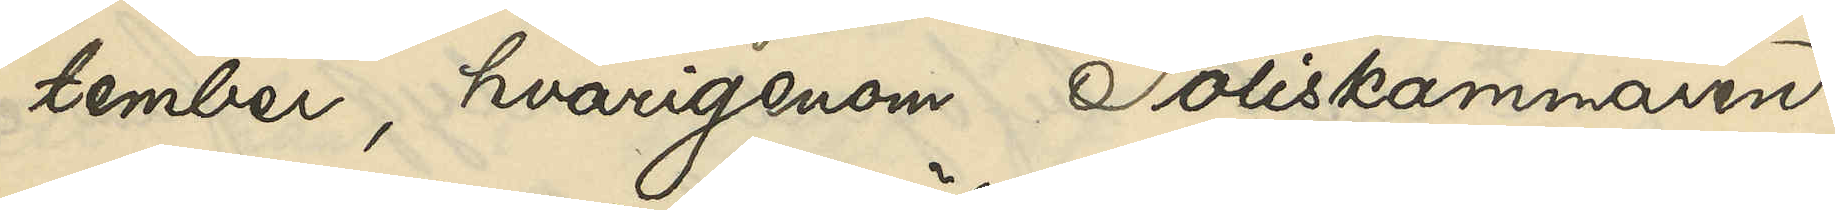tember, hvarigenom Poliskammaren
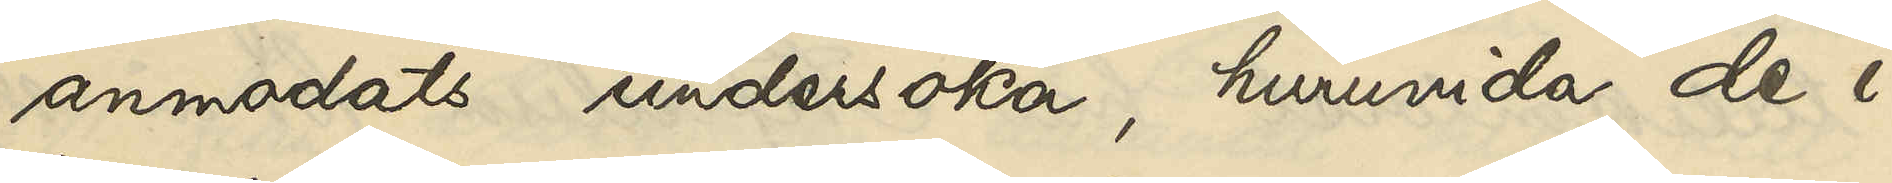anmodats undersöka, huruvida de i
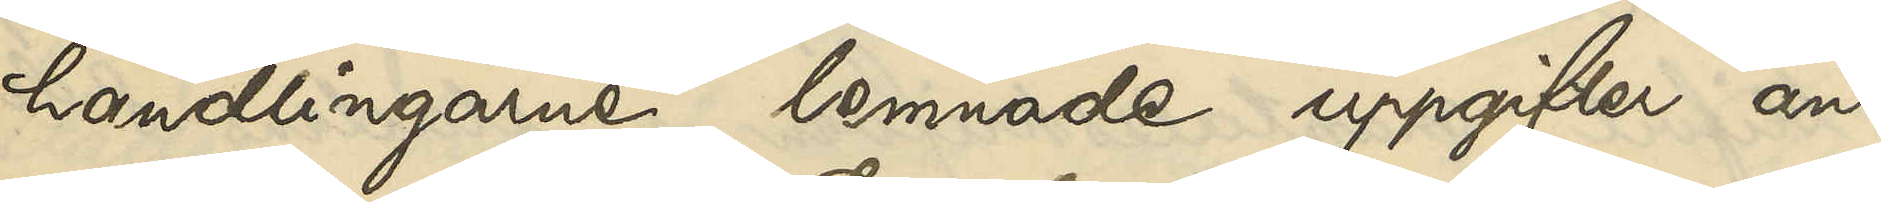handlingarne lemnade uppgifter an¬
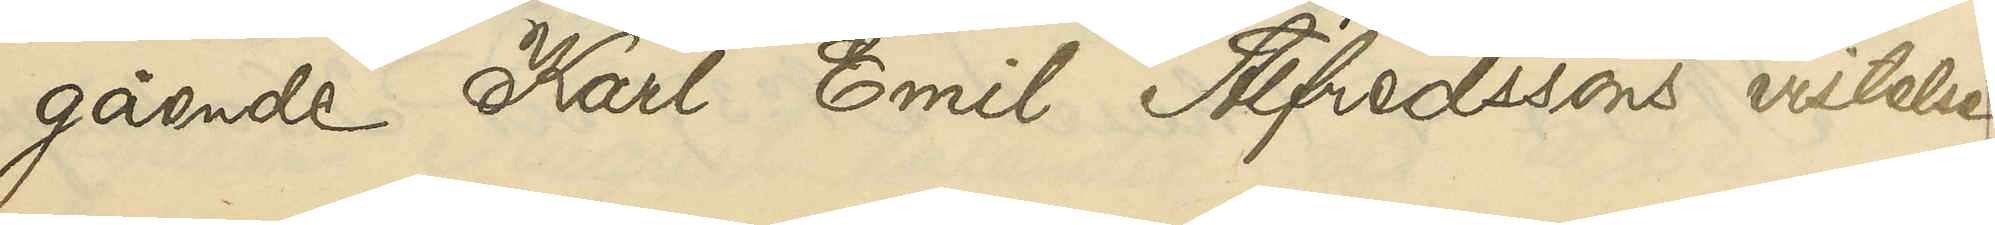gående Karl Emil Alfredssons vistelse
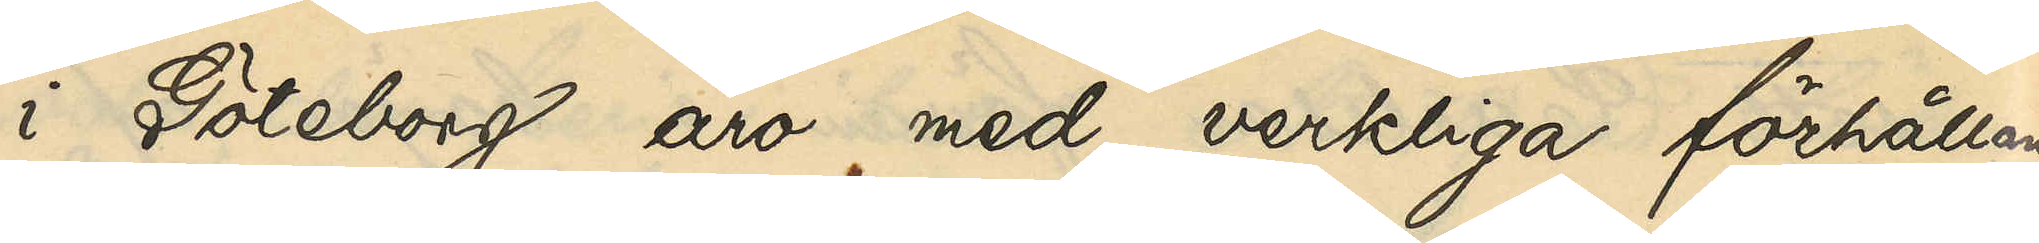i Göteborg äro med verkliga förhållan¬
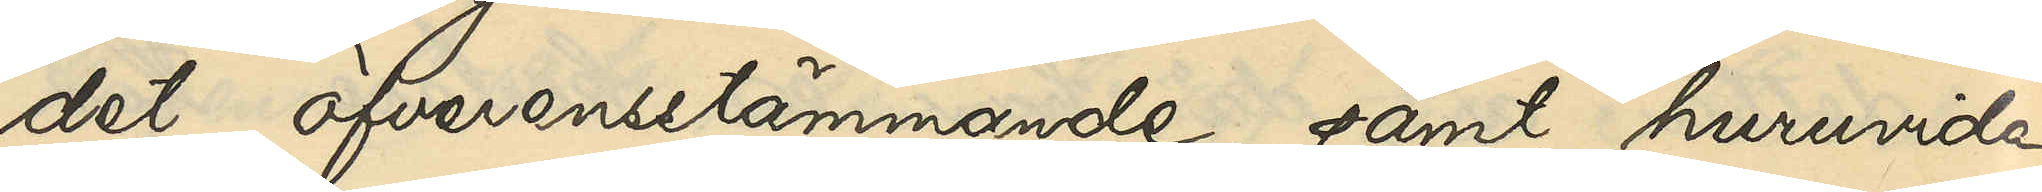det öfverensstämmande samt huruvida
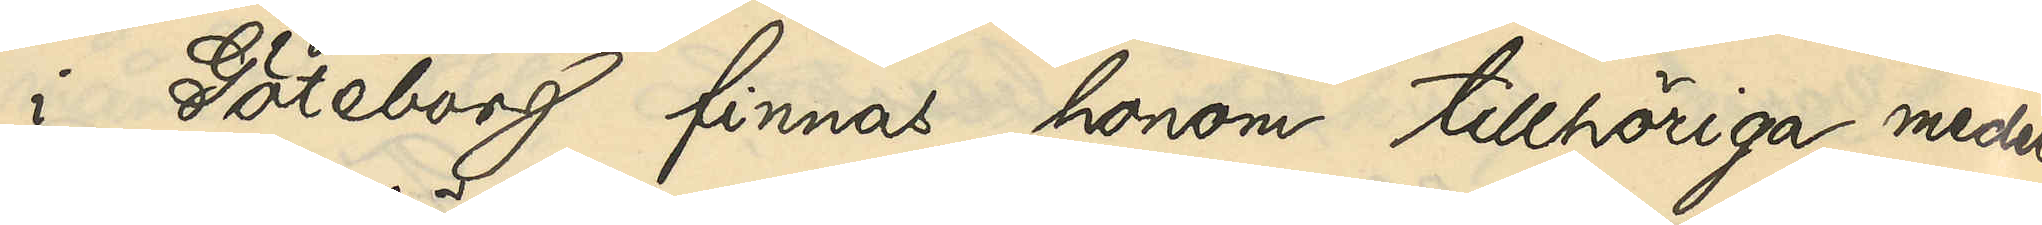i Göteborg finnas honom tillhöriga medel
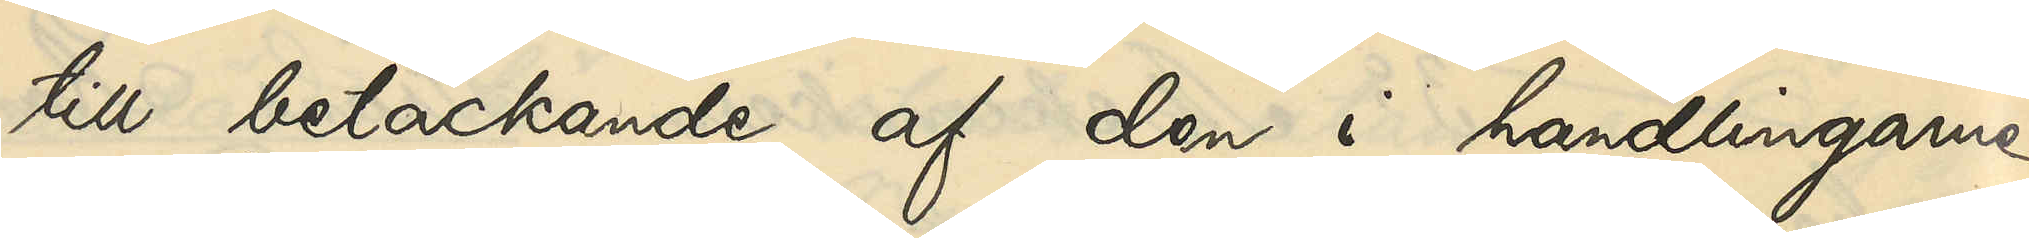till betäckande af de i handlingarne
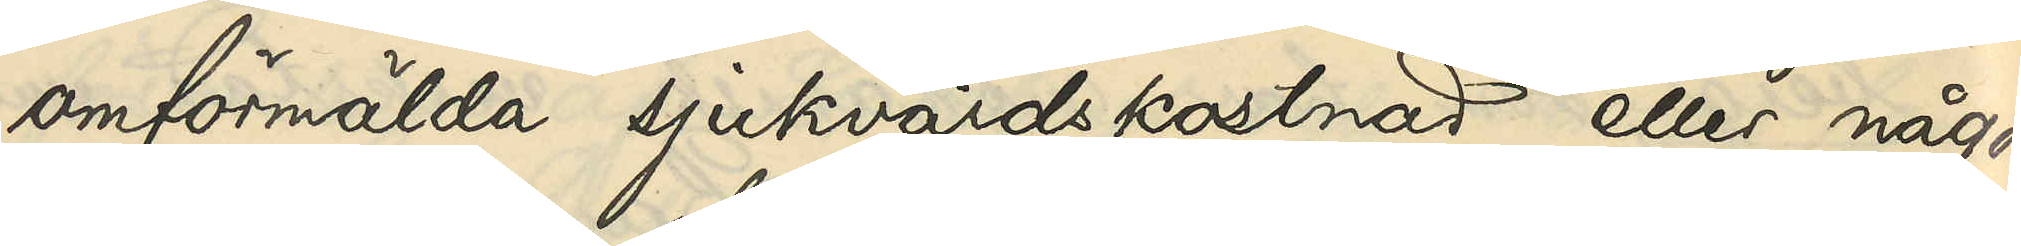omförmälda sjukvårdskostnad eller någon
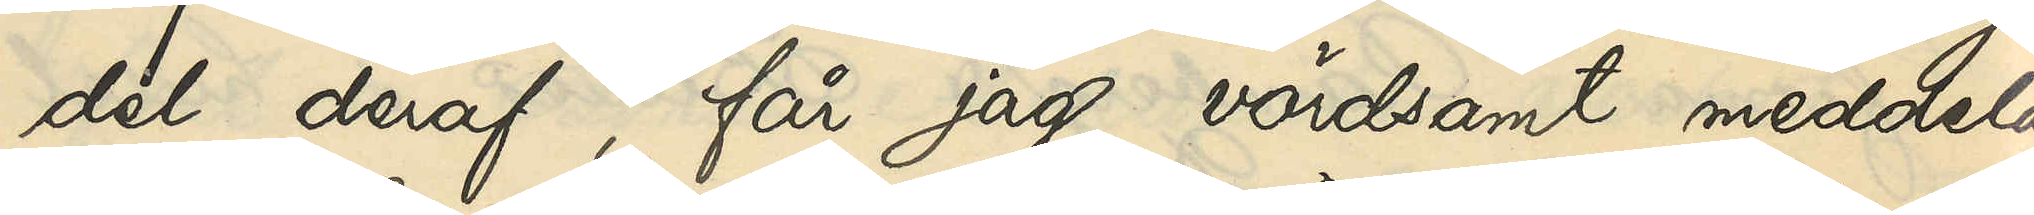del deraf, får jag vördsamt meddela,
